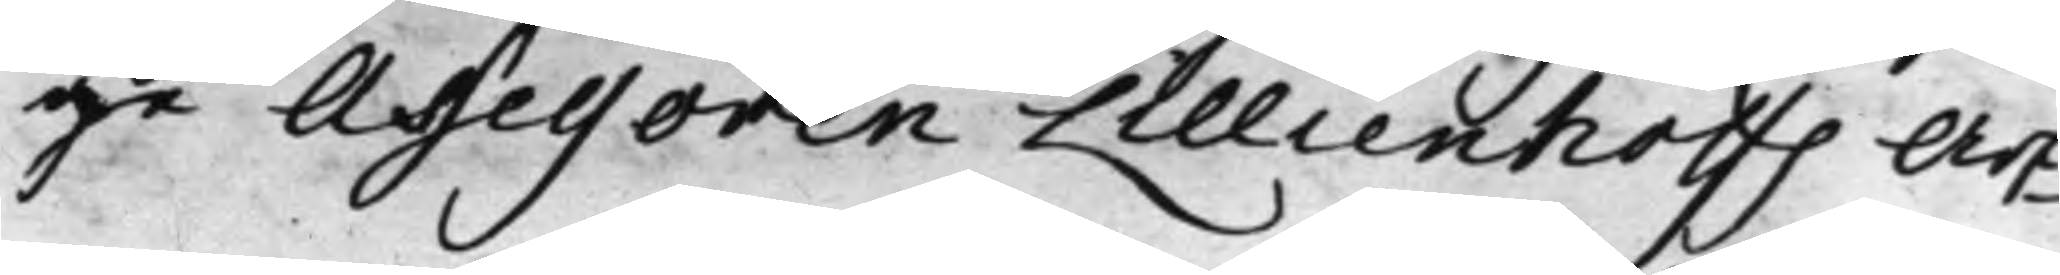ge Assessoren Lilliehoffs Arf¬
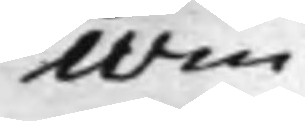win¬
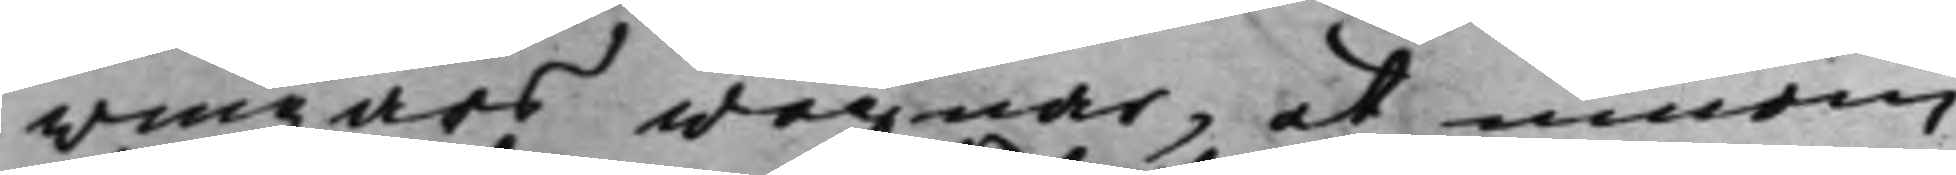wingars wägnar, at innom
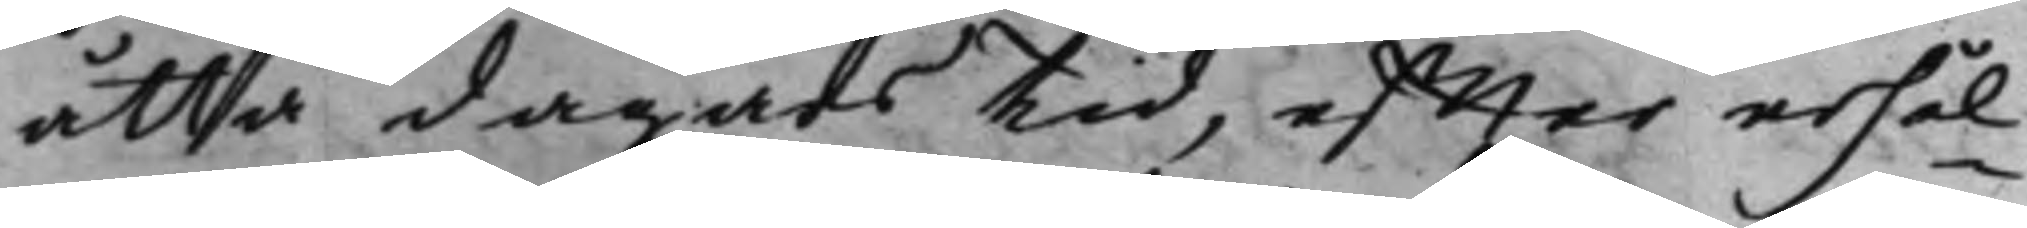åtta dagars tid, effter erhål¬
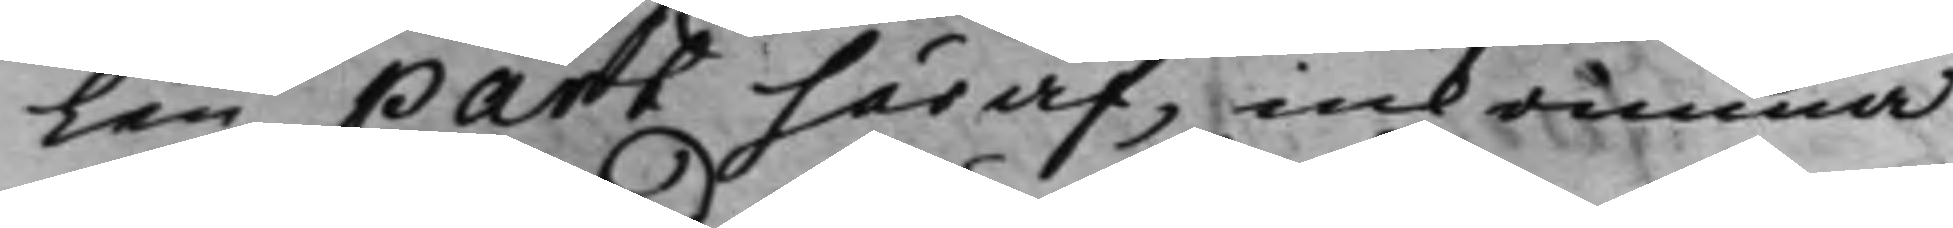len part häraf, inkomma
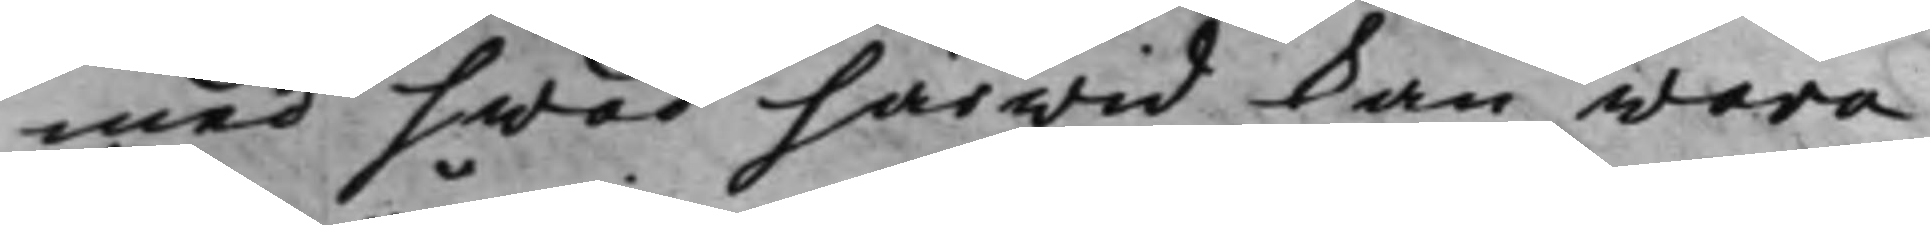med hwad härwid kan wara
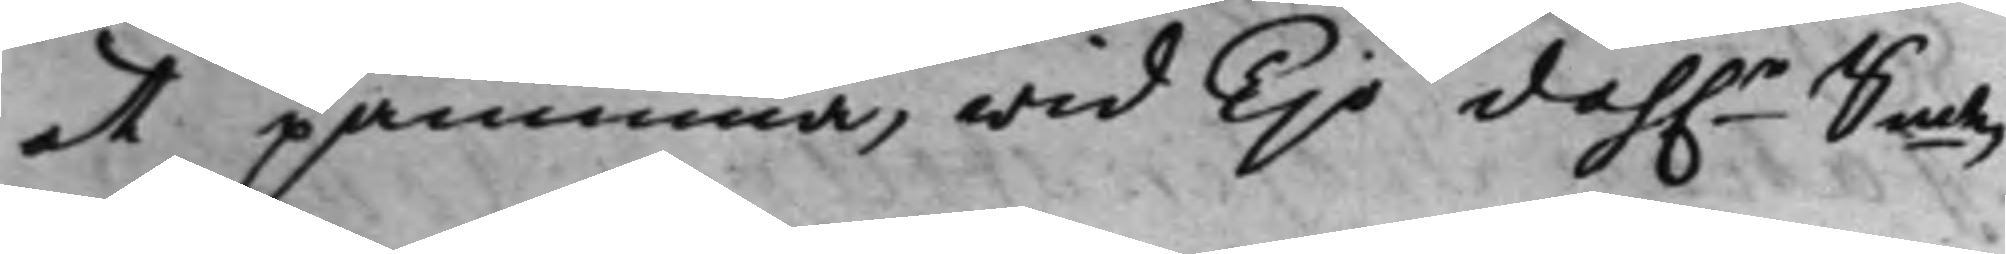at påminna, wid Tijo dah.r Smtz
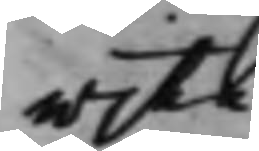wite.
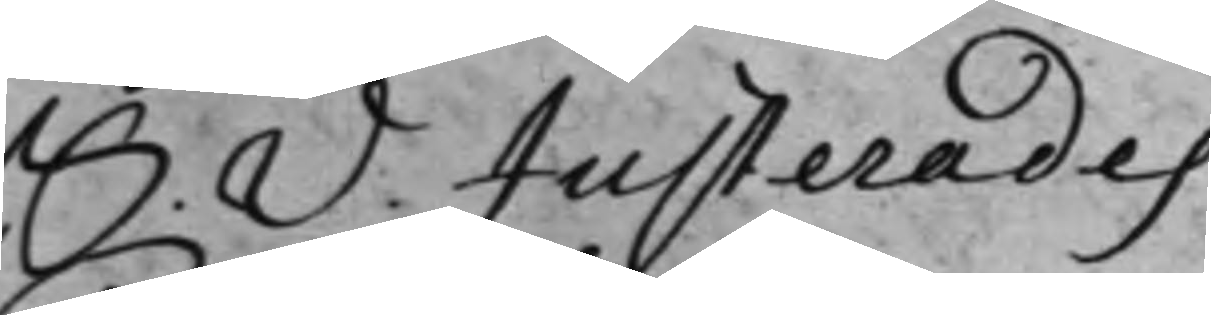S. D. Justerades
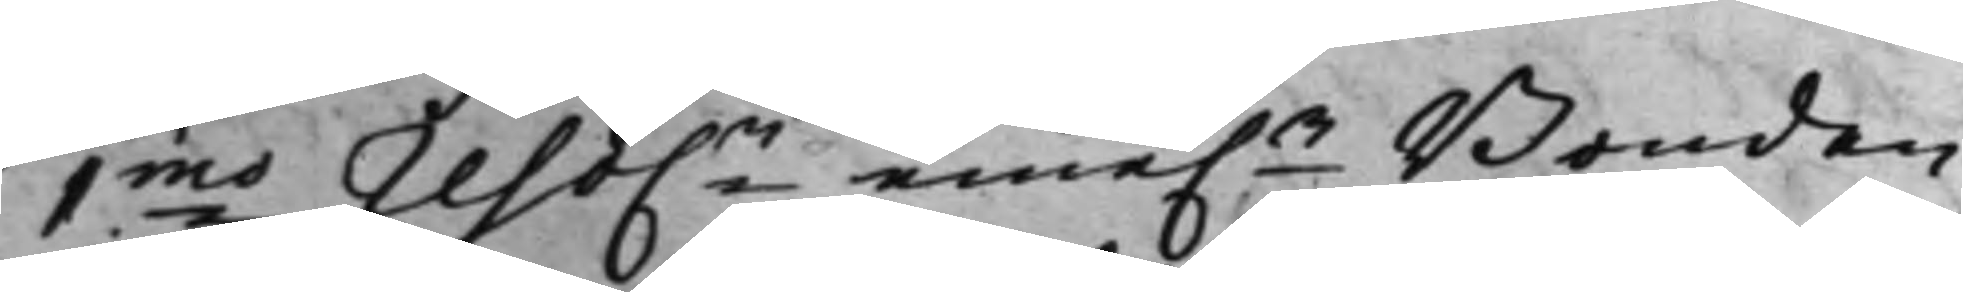1mo reso.n eme.n Bonden
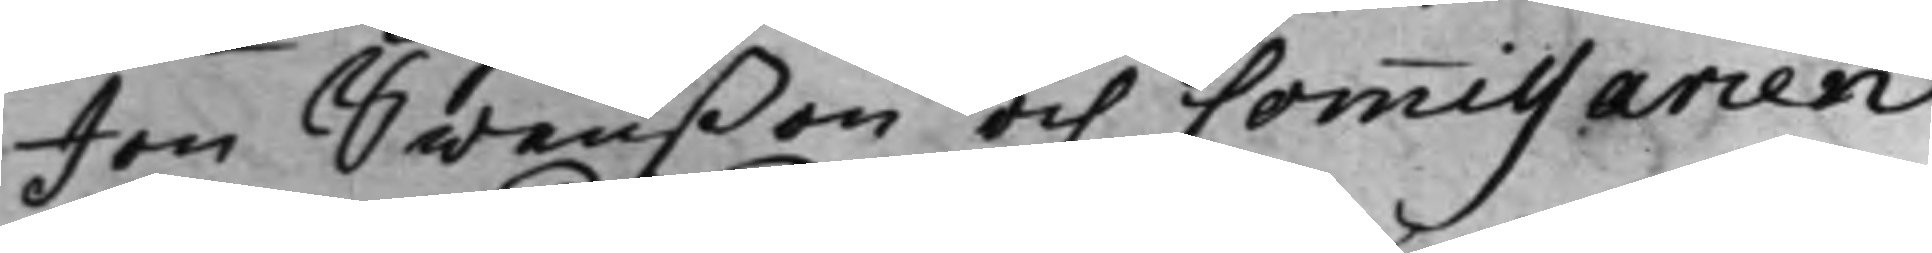Jon Swenßon och Commissarien
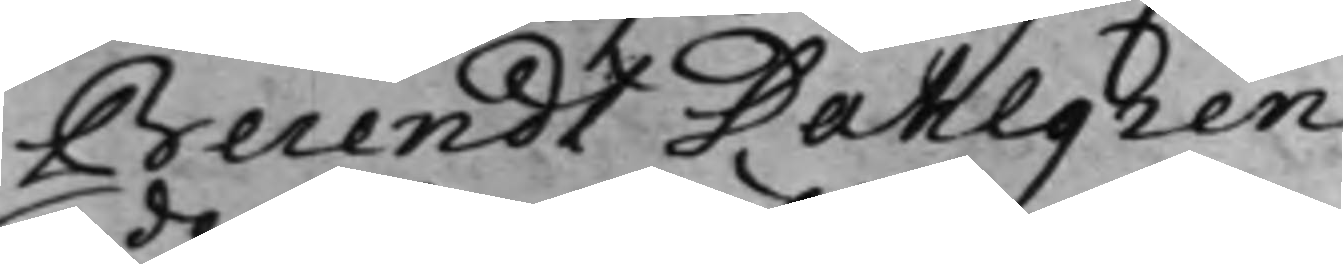Berendt Dahlgren,
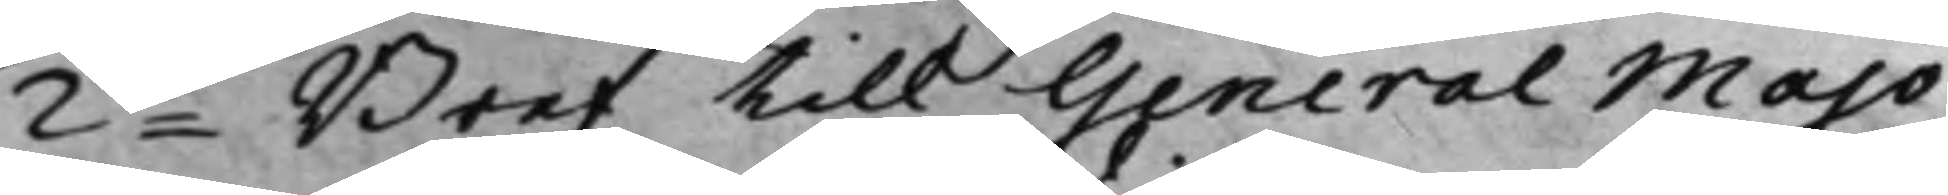2do Bref till General Majo¬
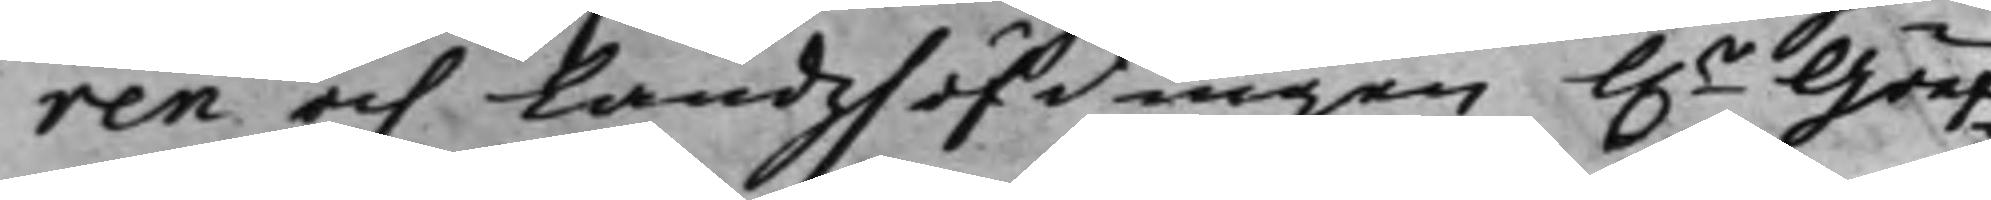ren och Landzhöfdingen h.r Gref¬
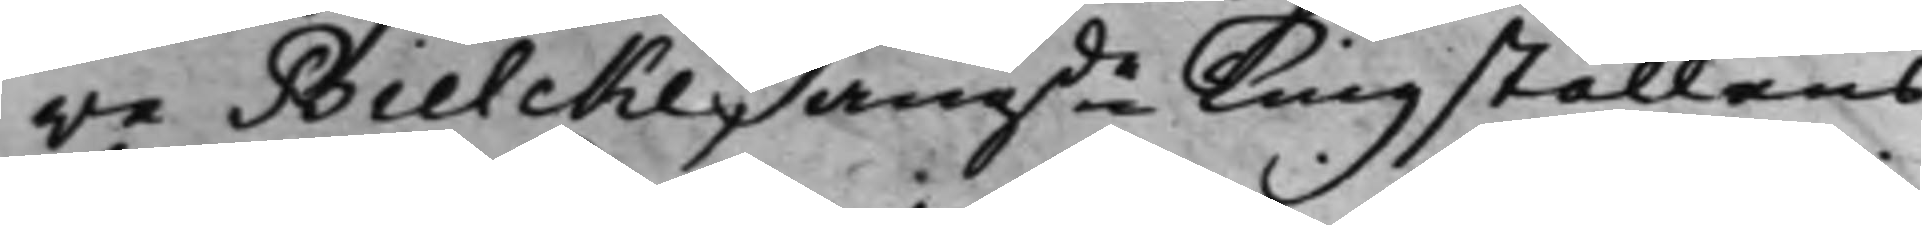ve Bielcke, angde Tingställens
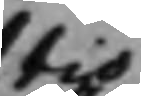tio
